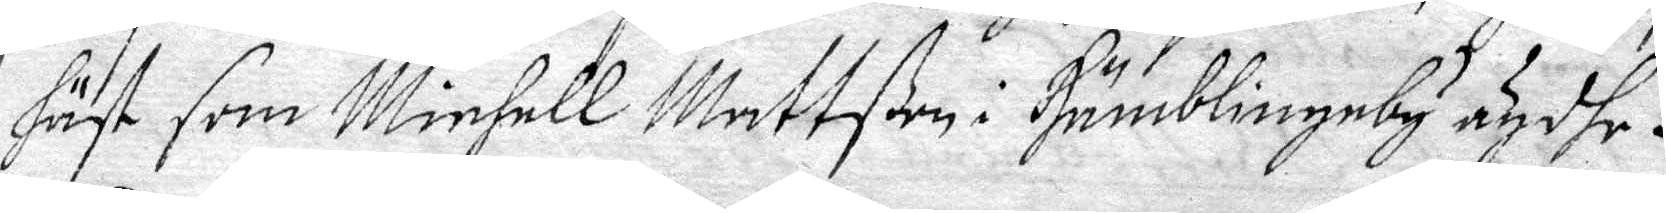häst som Michell Mattßon i Humblingeby ägdhe.
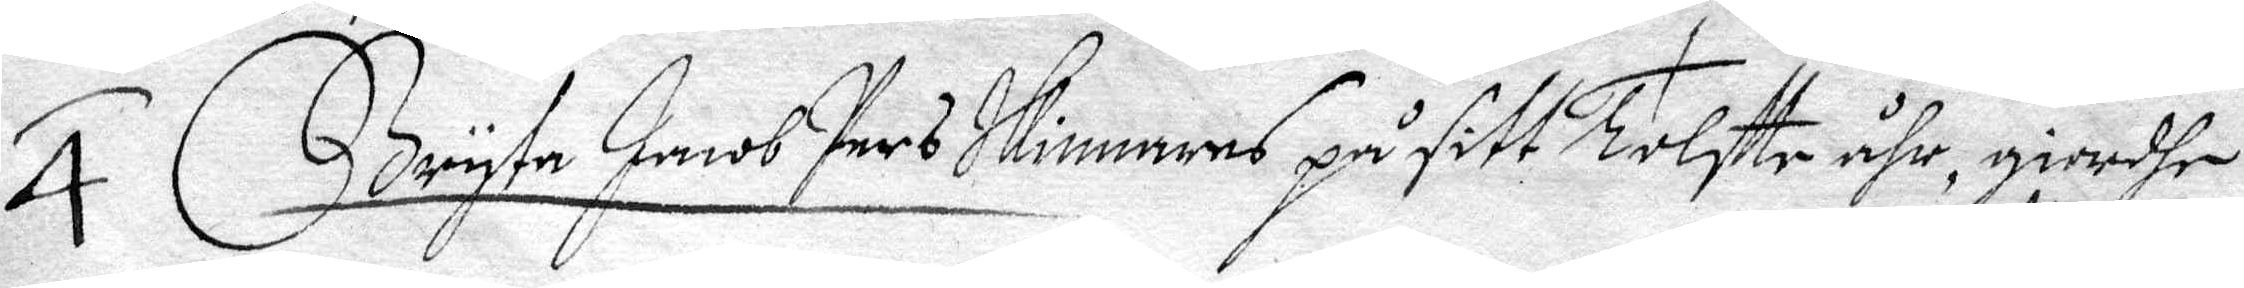Bryta Jacob Pers Skinnares på sitt Tolfte åhr, giordhe
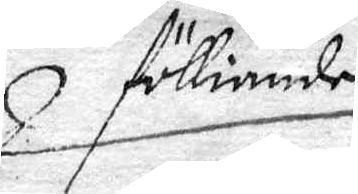fölliande
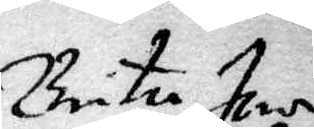Brita J...¬
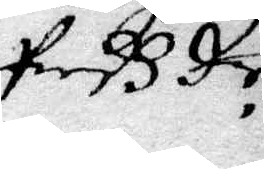Pers dr
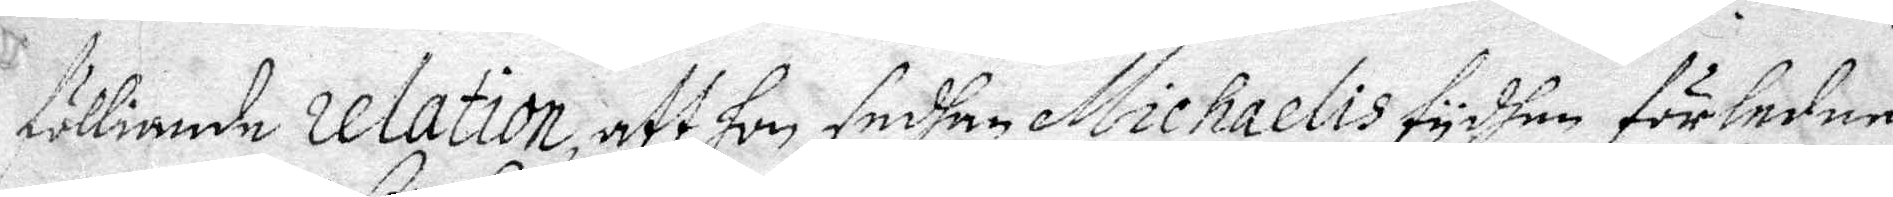fölliande relation, att hon sedhan Michaelis tydhen förleden
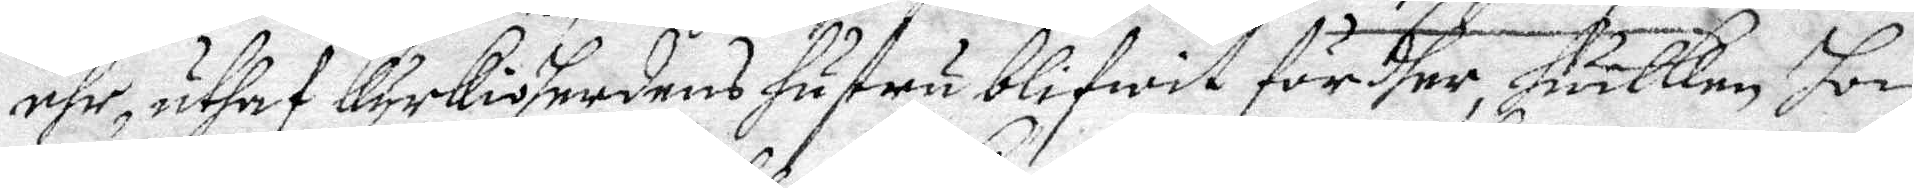åhr, uthaf Kyrkioherdens hustru blifwit fördher, Hwilken hon
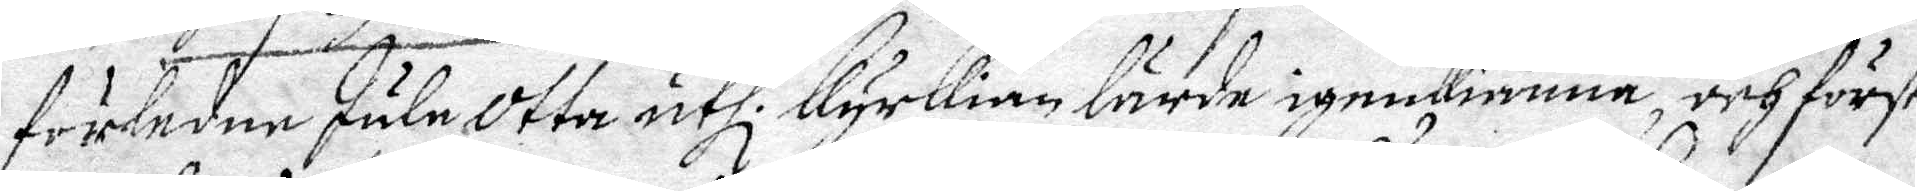förledne Jule Otta uthi kyrkian lärde igenkiänna, och först
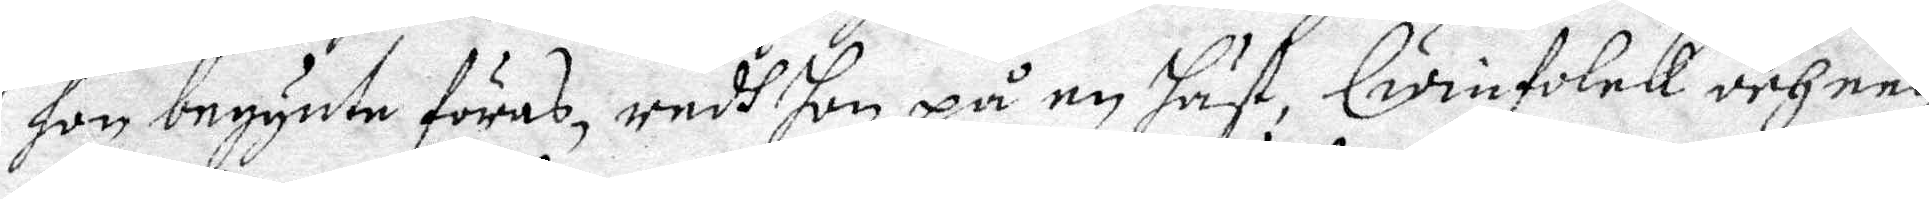hon begynte föras, redh hon på en häst, Qwinfolck och een
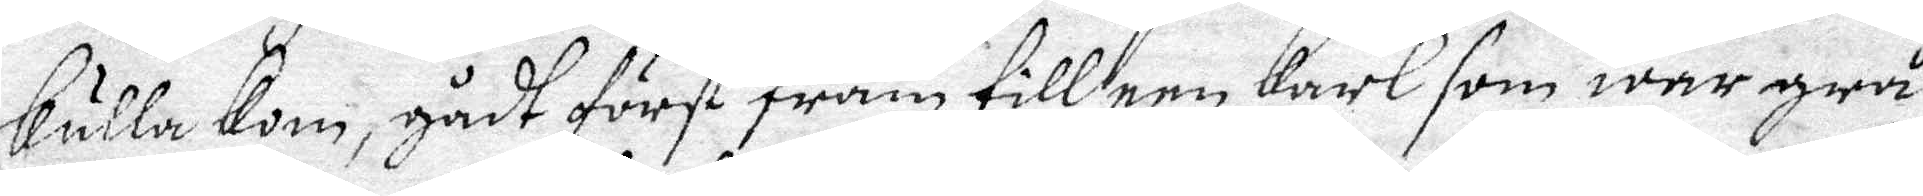kulla kom, gådt först fram till een Karl som wer grå
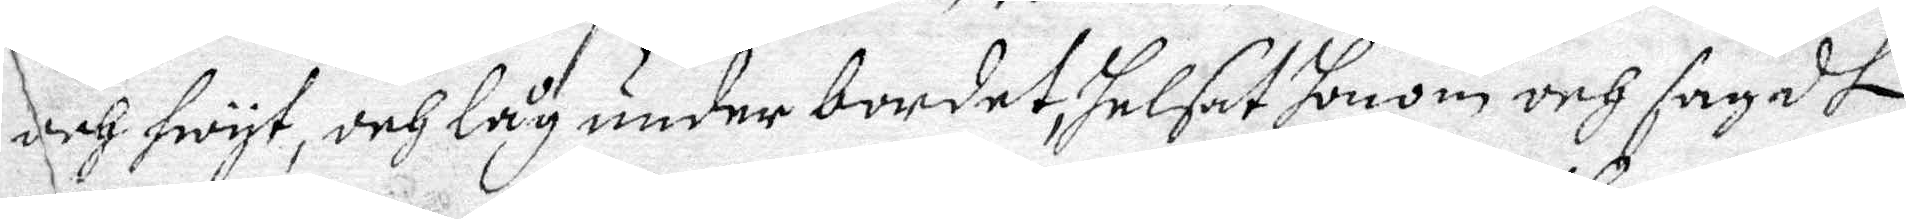och hwyt, och låg under bordet, helsat honom och sagdt 
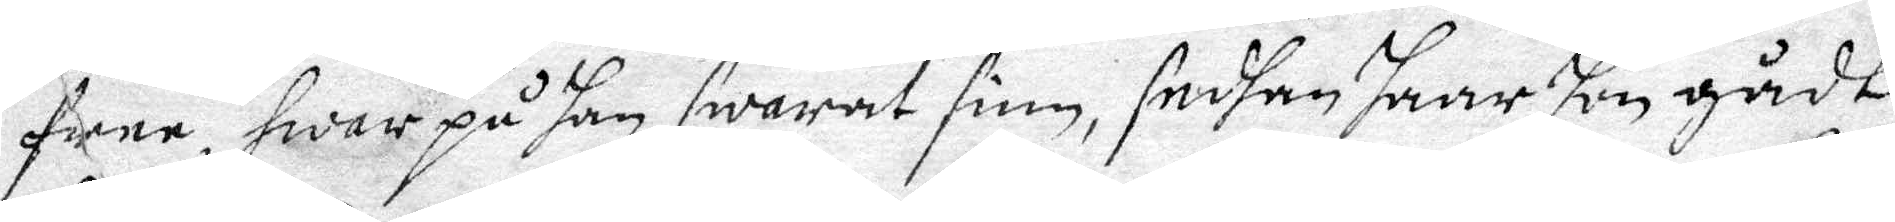fane, hwar på Han swarat sinn, sedhan haar hon gådt
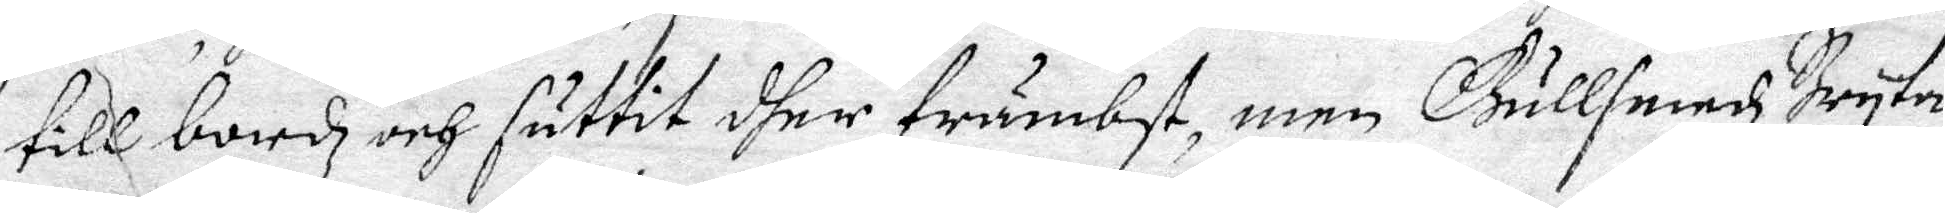till bordz och suttit dher främbst, men Gullsmedz Bryta 
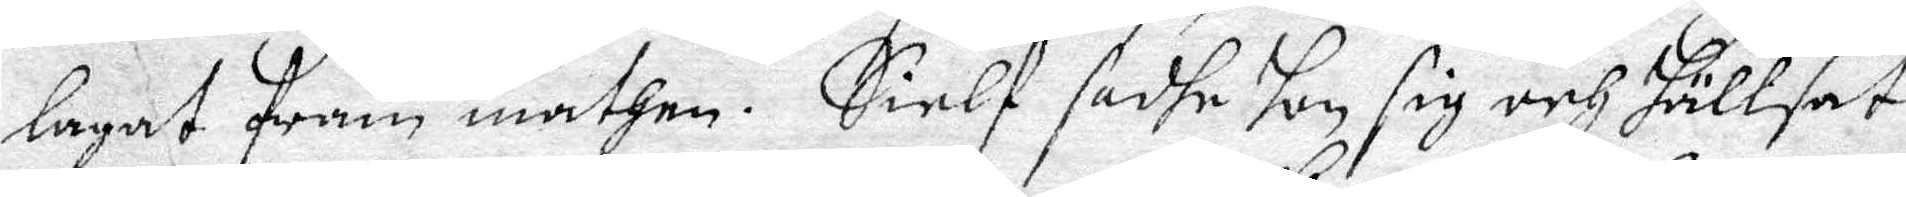lagat fram mathen. Sielf sadhe hon sig och hällsat
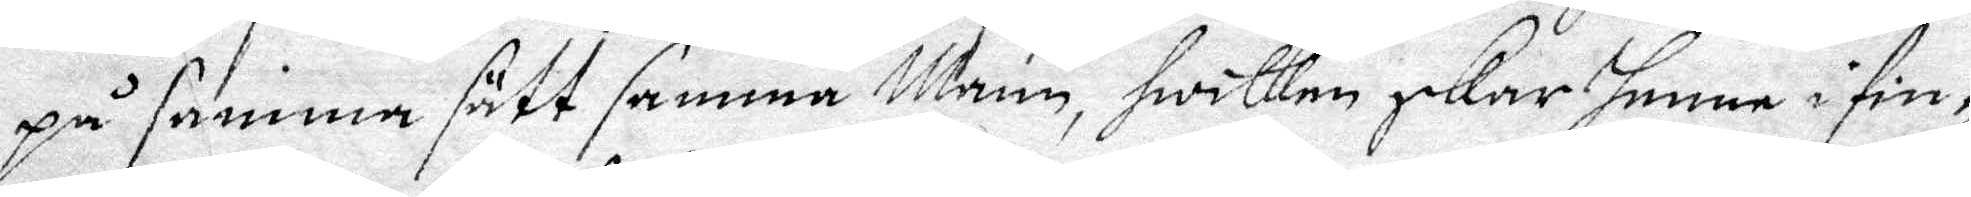på samma sätt samma Mann, hwilken skar henne i fin¬
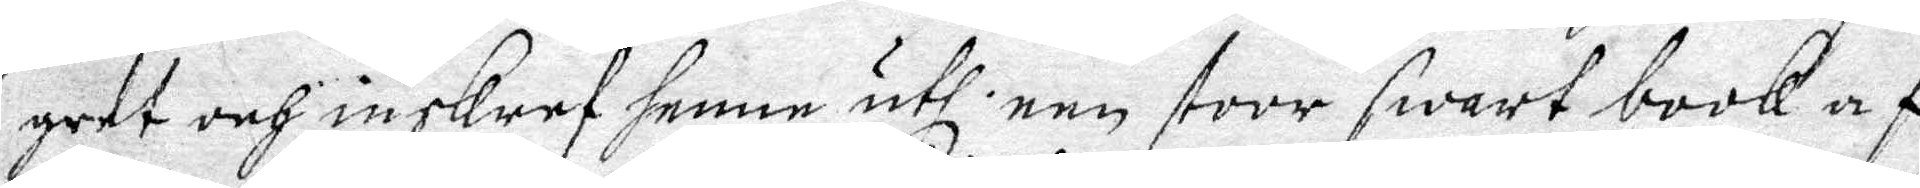gret och inskref henne uthi een stoor swart book af
